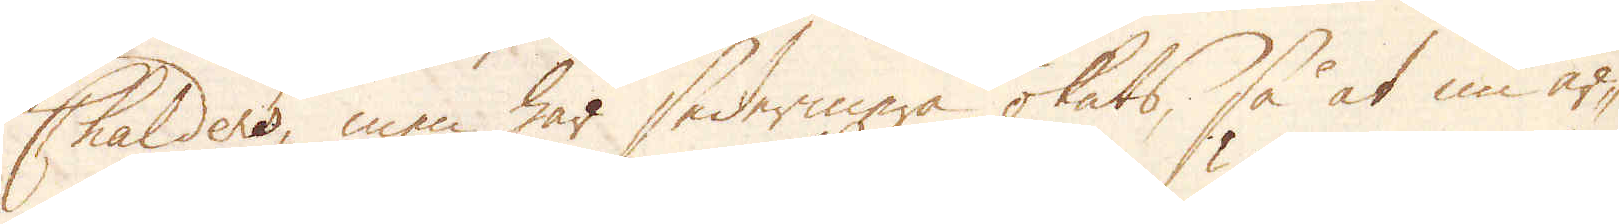Chalders, men har sedermera ökats, så at nu år-
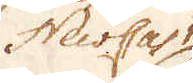NewCastle
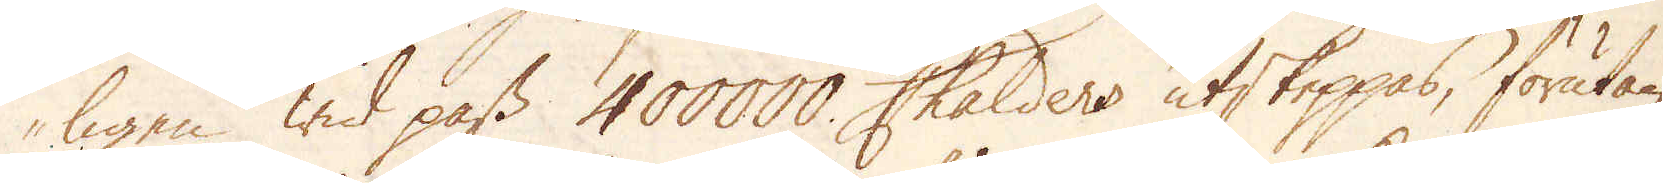ligen wid pass 400000 Chalders utskeppas, förutan
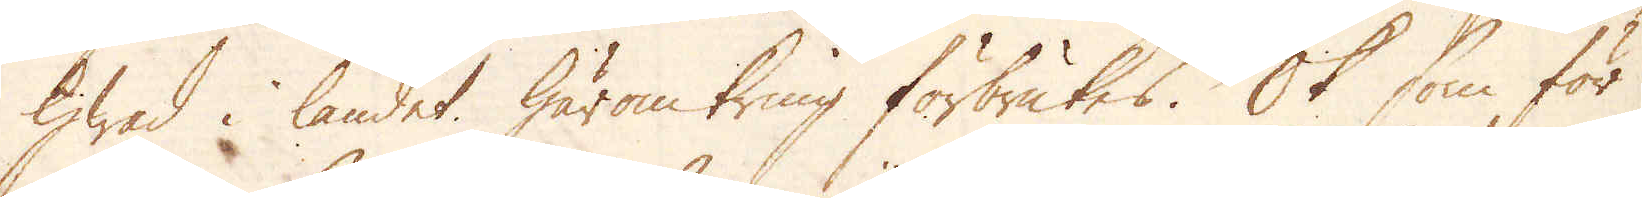hwad i landet häromkring förbrukes. Ok som för
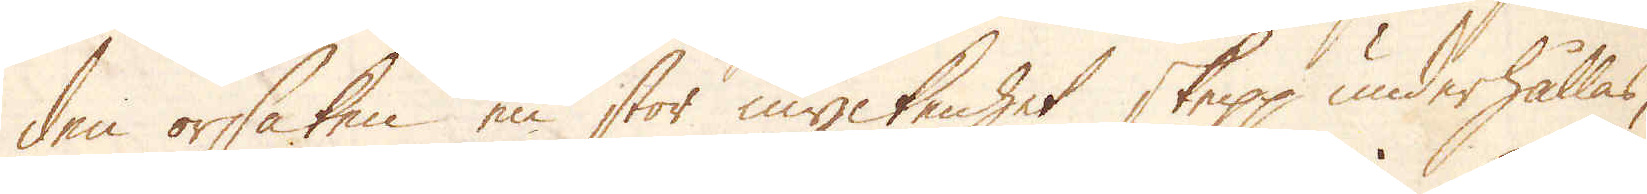den orsaken en stor myckenhet skepp underhållas,
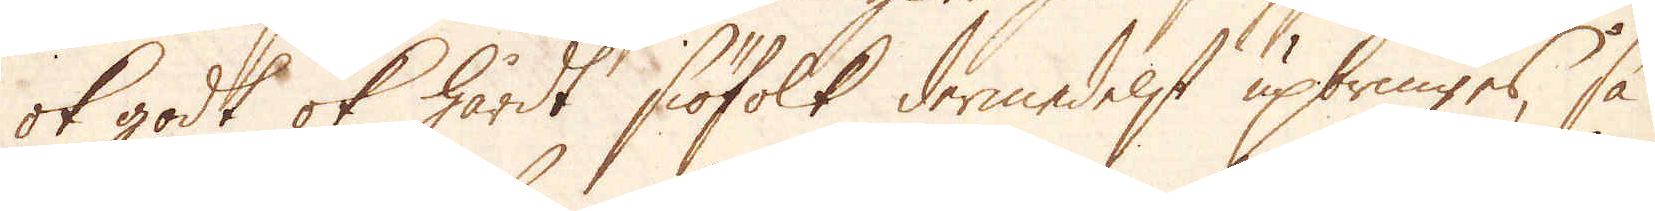ok godt ok hårdt siöfolk dermedelst upbringes, så
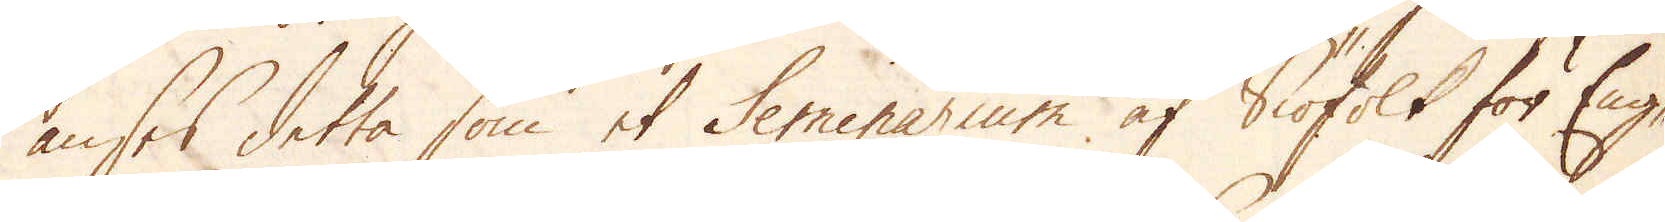anses detta som et Seminarium af Siöfolk för Eng-
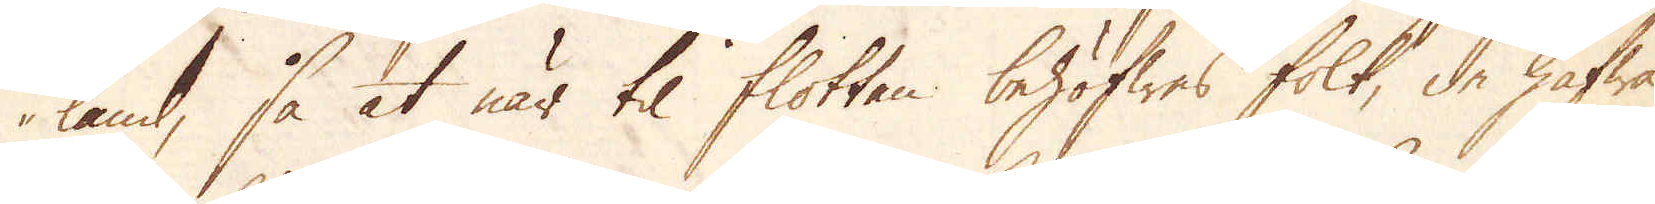land, så at när til flottan behöfwes folk, de hafwa
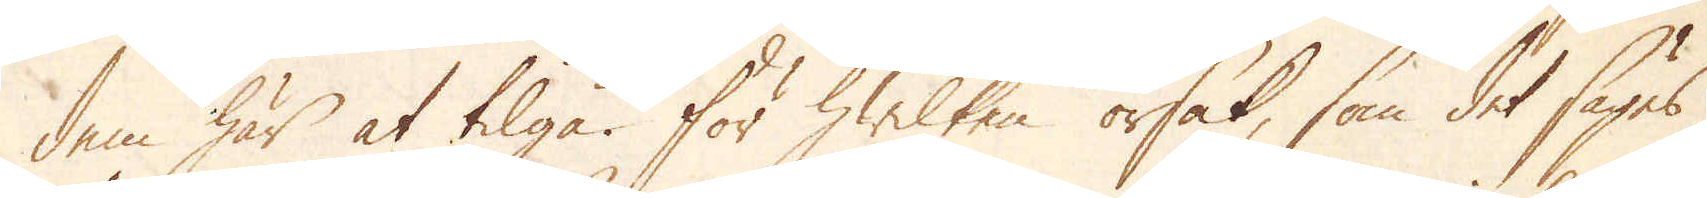dem här at tilgå. För hwilken orsak, som det säges,
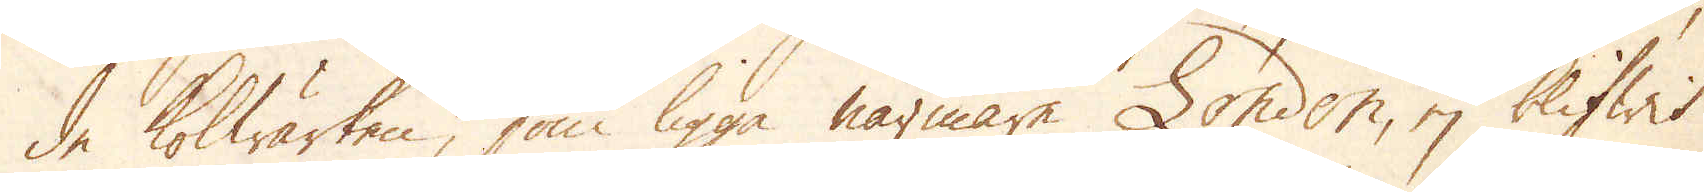de kolwärken som ligga närmare London, ej blifwit
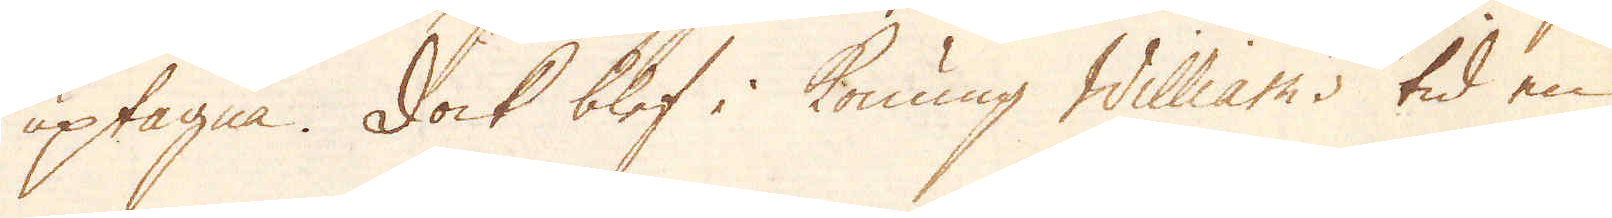uptagne. Dock blef i Konung Williams tid en
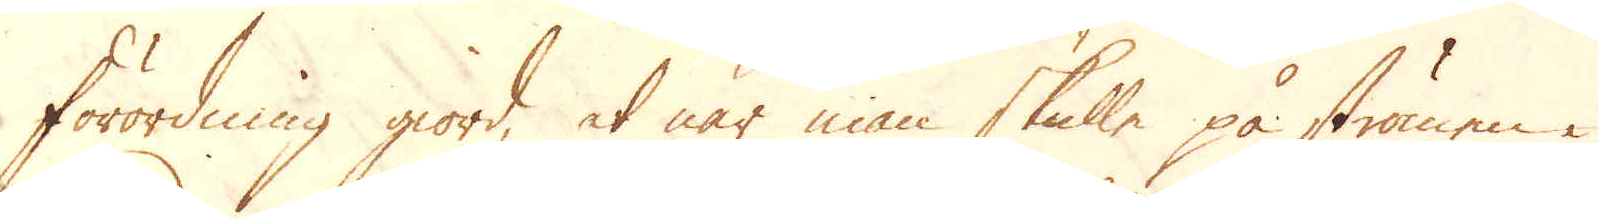förordning giord, at när man skulle på strömen i
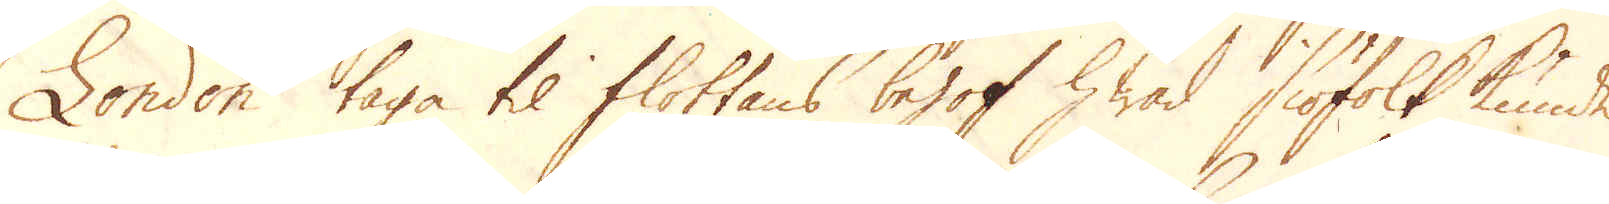London taga til flottans behof hwad siöfolk kunde
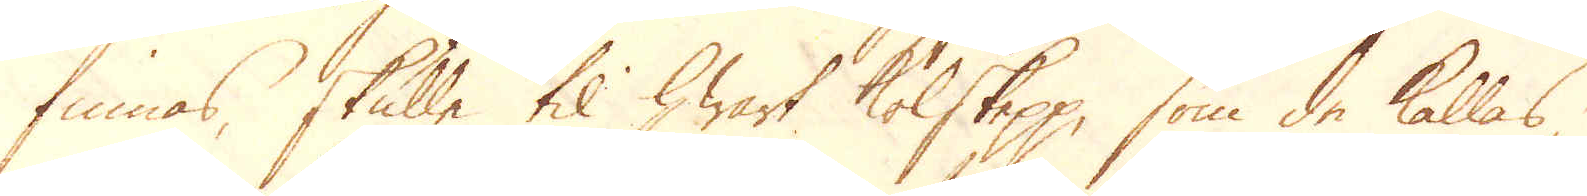finnas, skulle til hwart kolskepp, som de kallas,
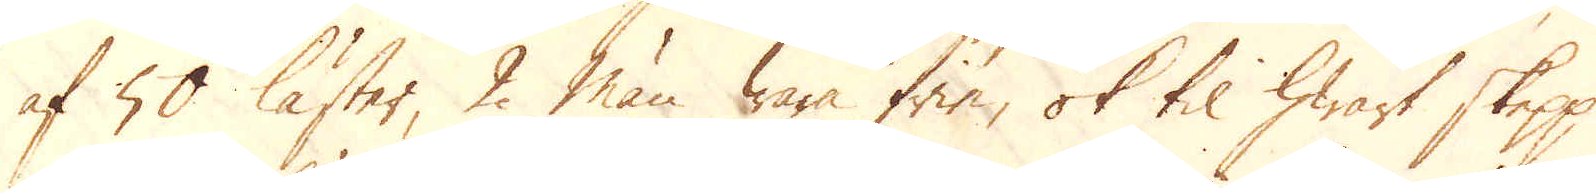af 50 läster, 2 man wara frie, ok til hwart skepp
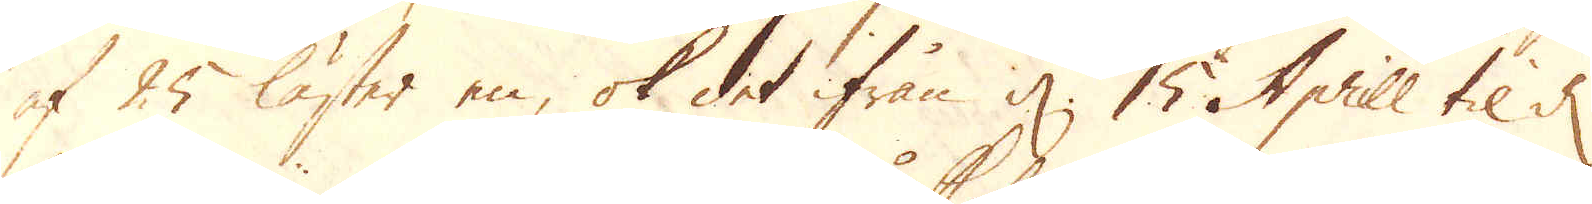af 25 läster en, ok det ifrån d. 15 Aprill til d.
